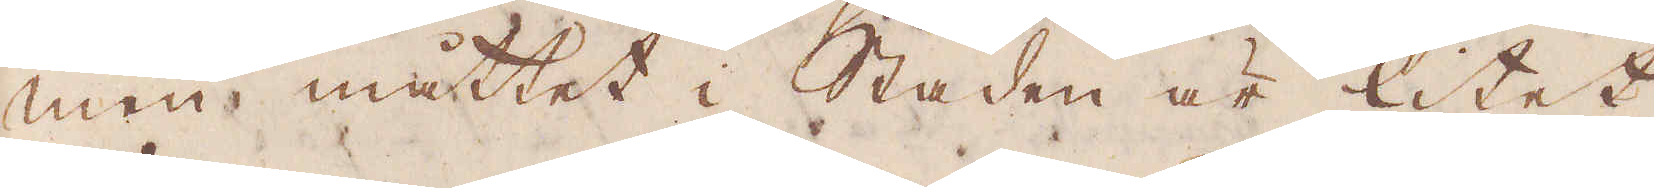men måttet i Staden är litet
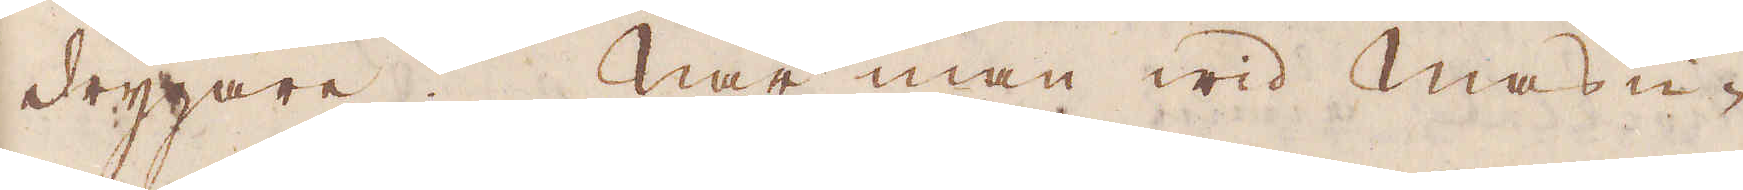drygare. När man wid Masu-
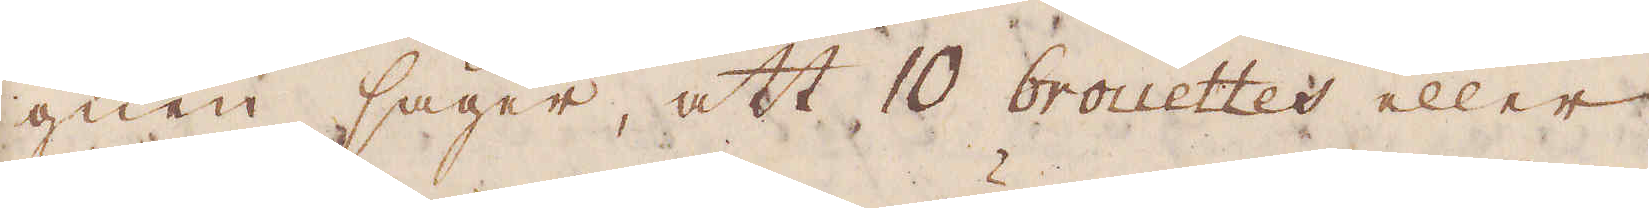gnen säger, att 10 brouttes eller
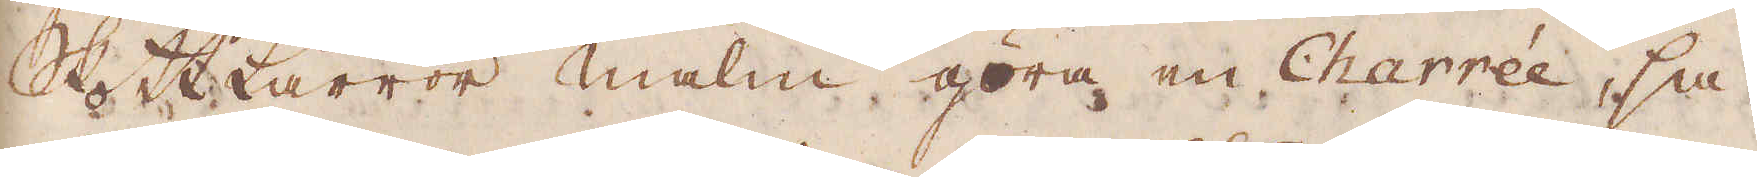Skottkärror malm göra en Charrée, så
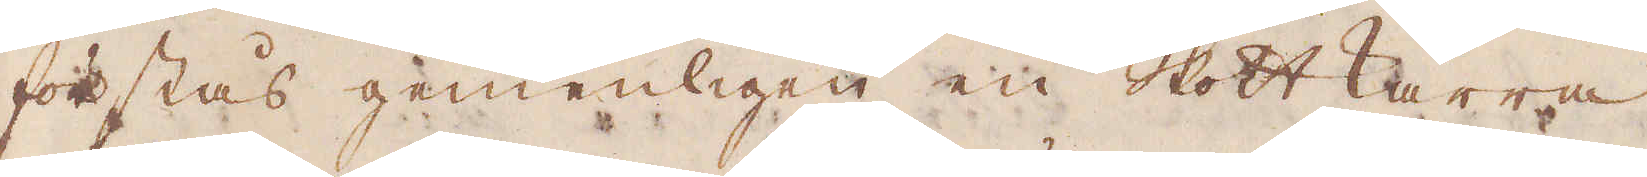förstås gemenligen en Skottkärra
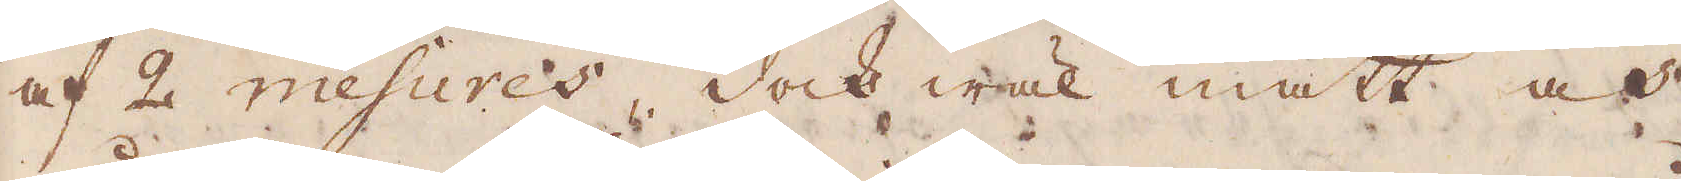af 2 mesures, dock wäl mätt och
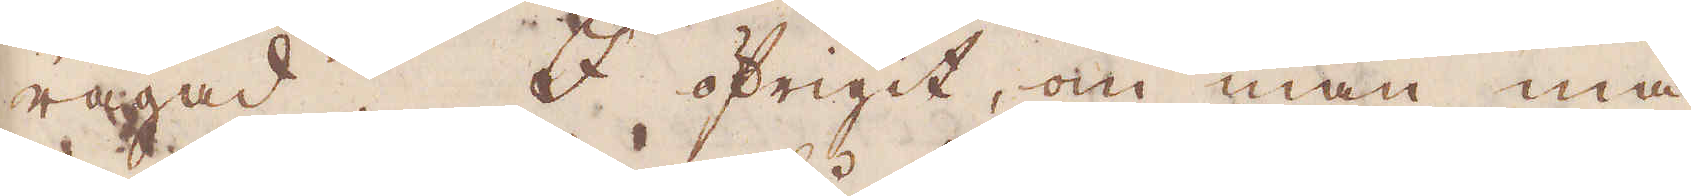rågad. I öfrigit, om man må
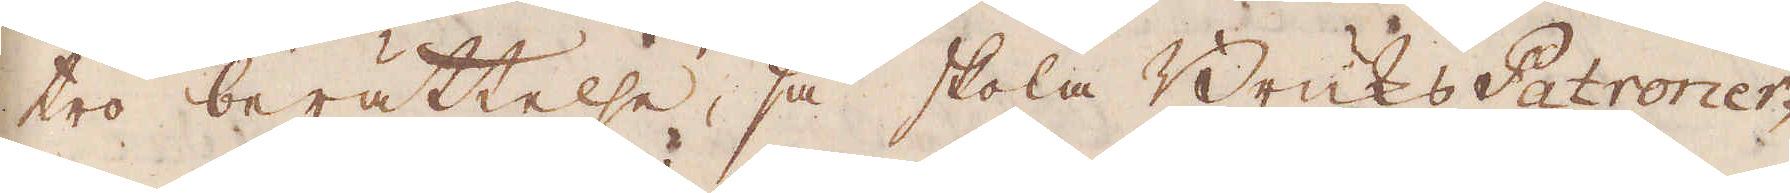tro berättelse, så skola Bruks Patroner-
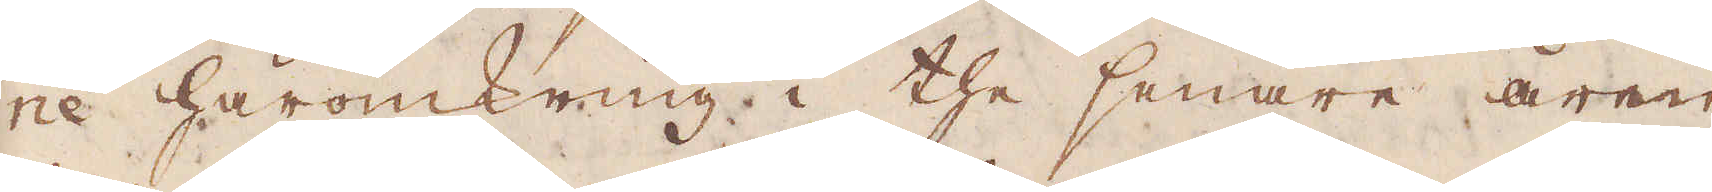ne häromkring i the senare åren
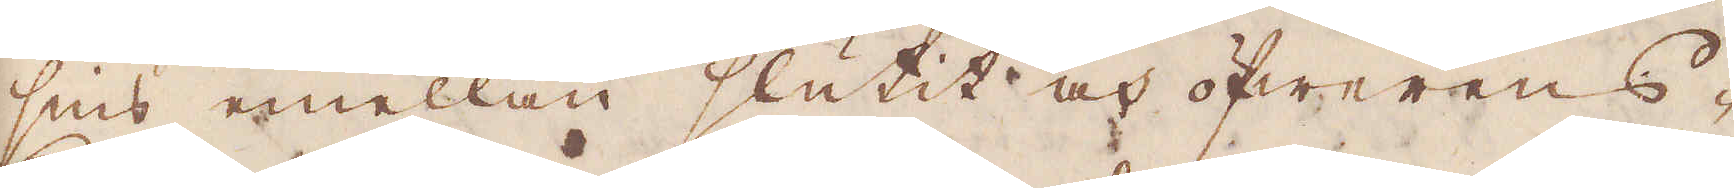sins emellan slutit och öfwerens-
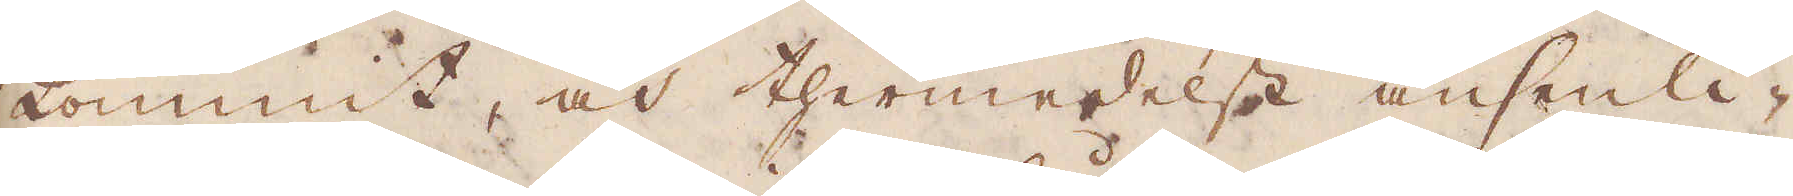kommit, och thermedelst ansenli-
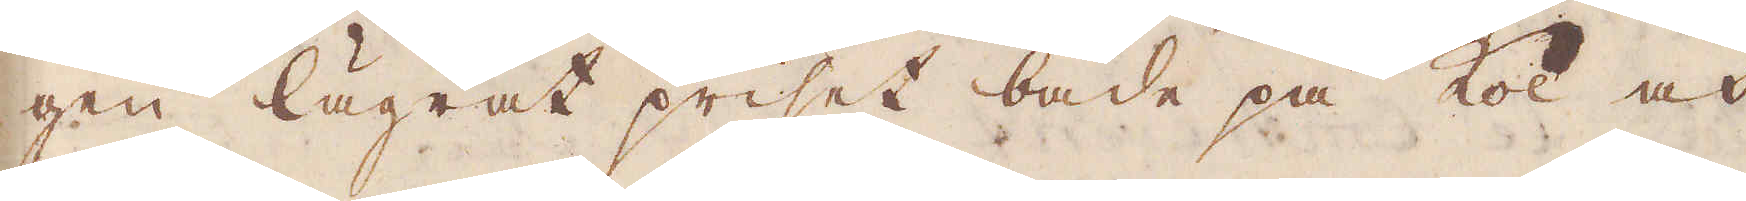gen lägrat priset både på kol och
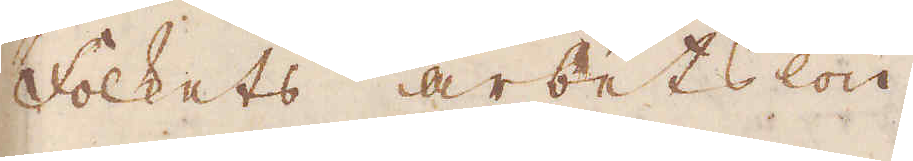Folkets arbetslön.
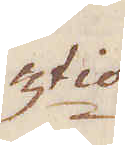3:tio
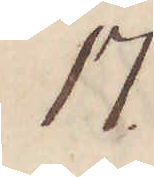17.
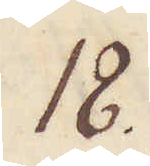18.
